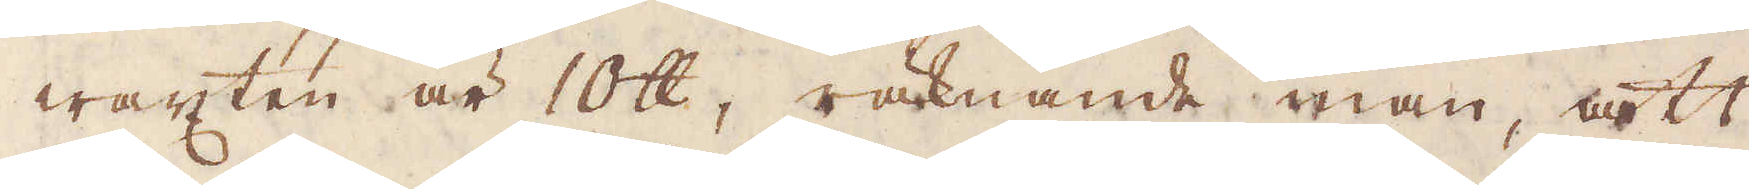wäxten är 10 skålpund, räknande man, att
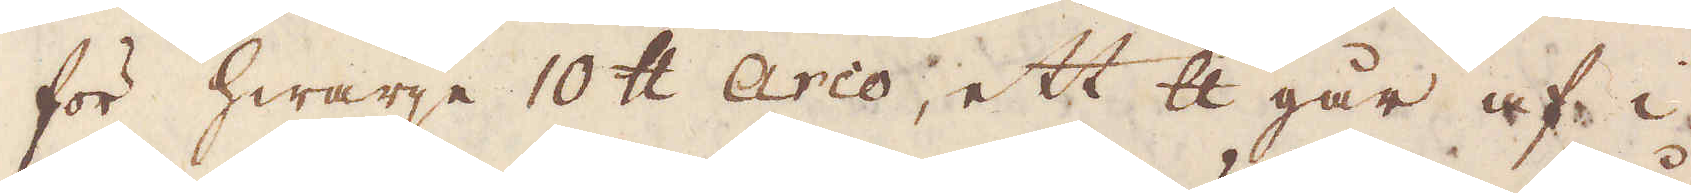för hwarje 10 skålpund Arco, ett skålpund går af i
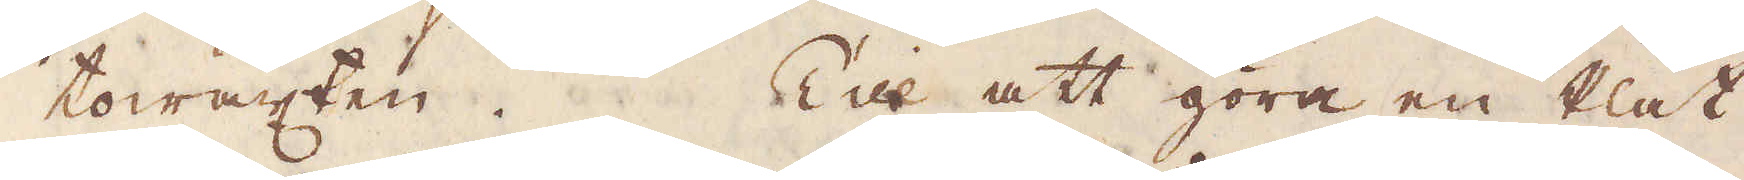towäxten. Till att göra en Plåt
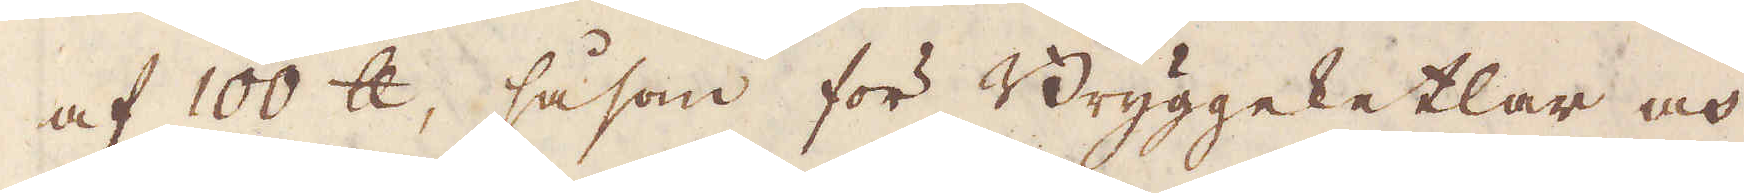af 100 skålpund, såsom för Bryggeketlar och
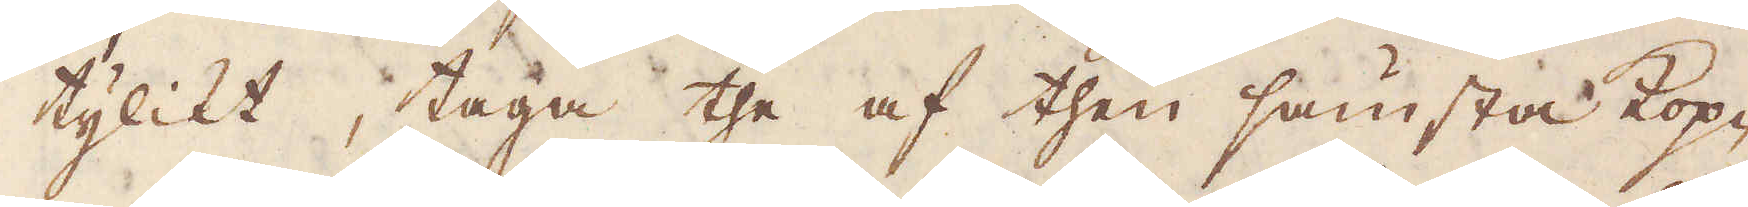tylikt, taga the af then sämsta Kop-
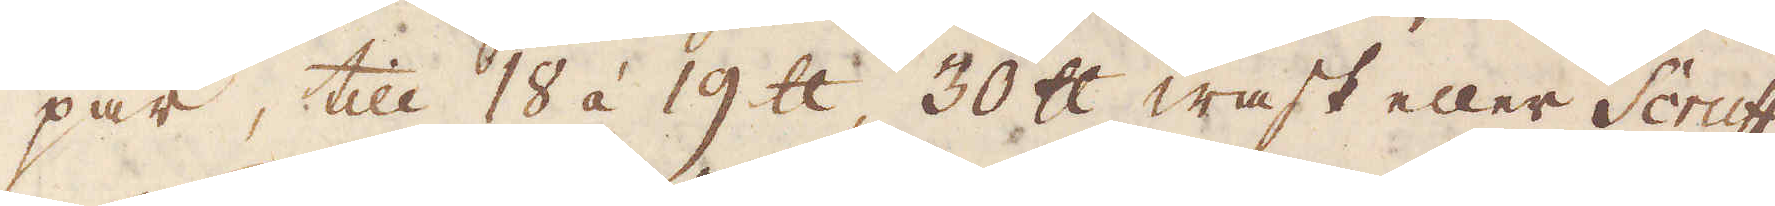par, till 18 á 19 skålpund, 30 skålpund wask eller Scruff
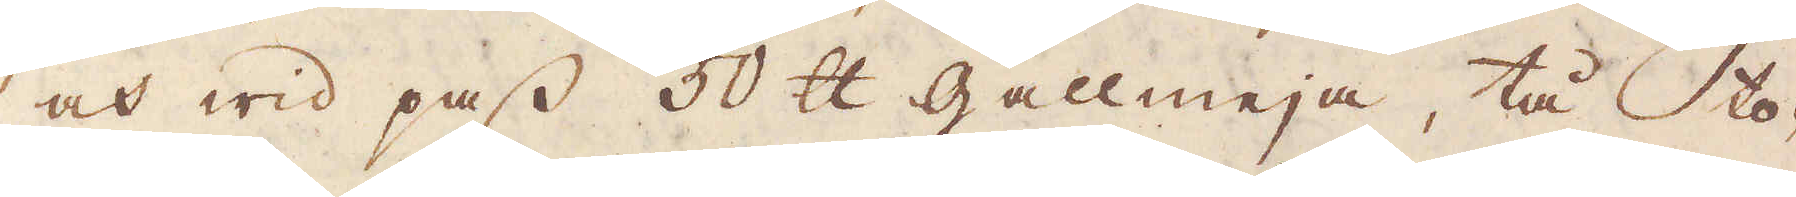och wid pass 50 skålpund gallmeja, tå to-
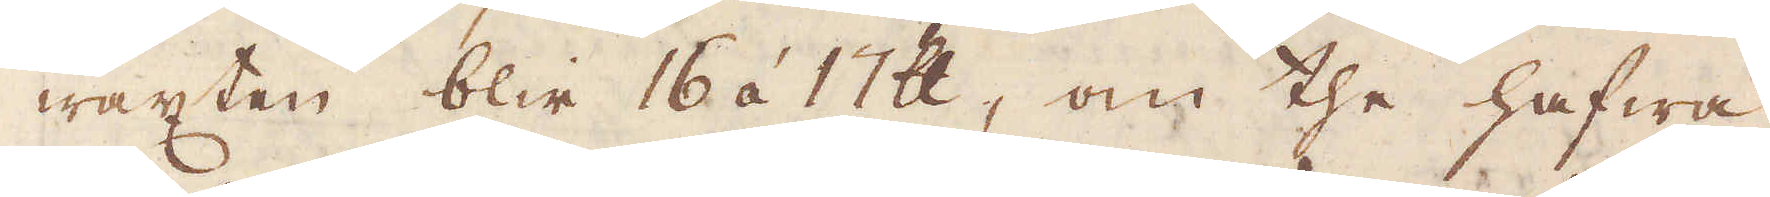wäxten blir 16 á 17 skålpund, om the hafwa
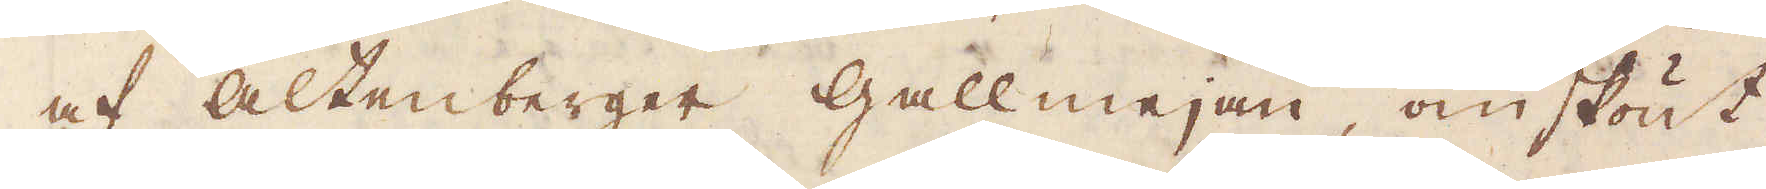af altenberger gallmejan, omskönt
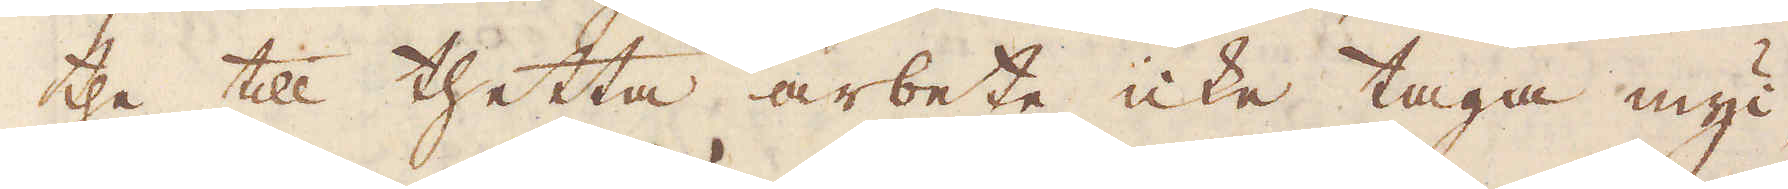the till thetta arbete icke taga myc-
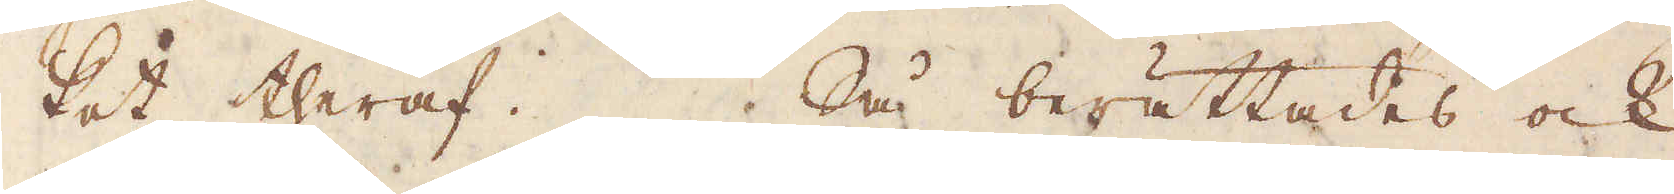ket theraf. Så berättades ock,
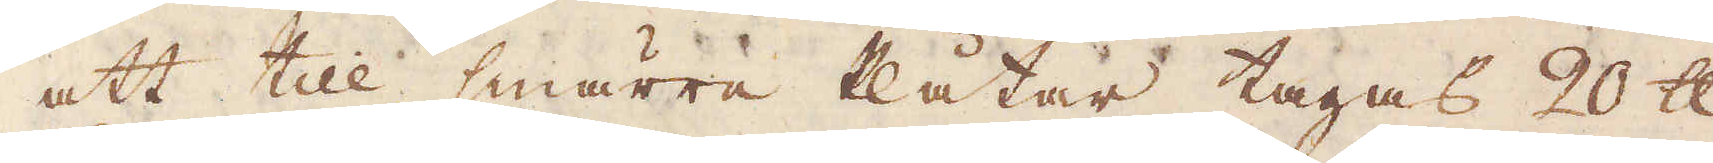att till smärre Plåtar tagas 20 skålpund
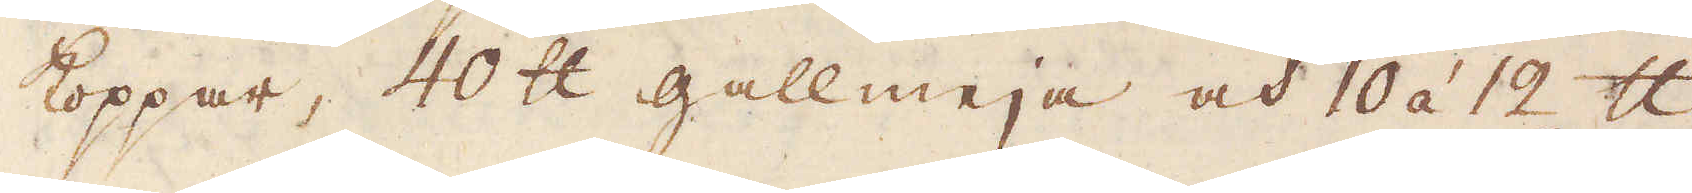koppar, 40 skålpund gallmeja och 10 á 12 skålpund
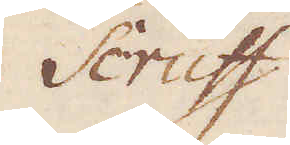Scruff,
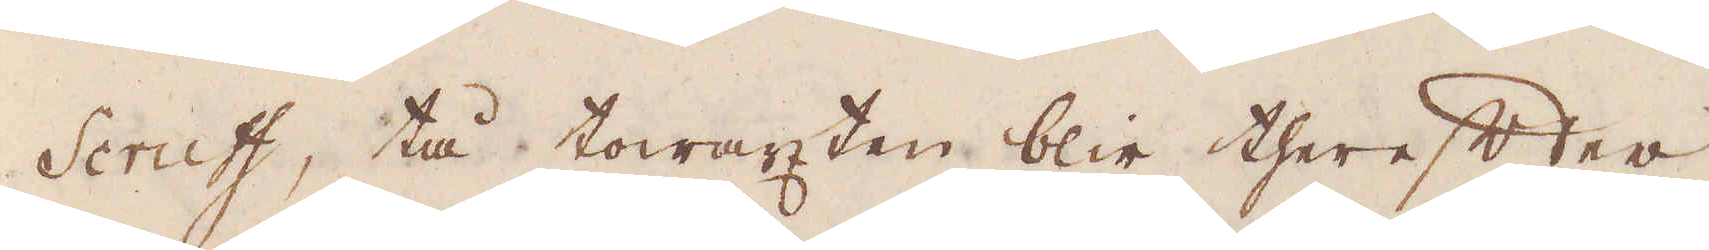Scruff, tå towäxten blir therefter
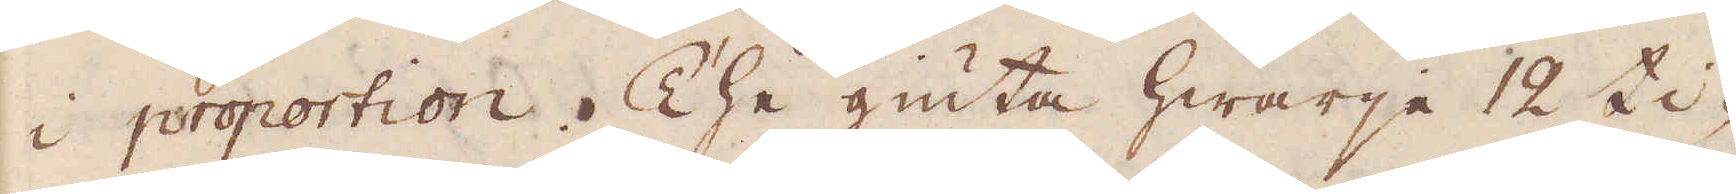i proportion. The giuta hwarje 12 ti-
